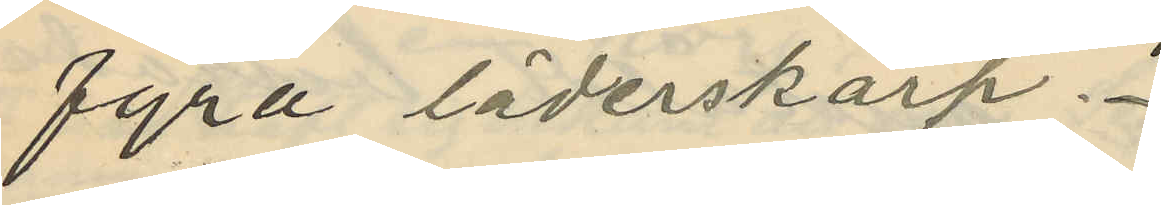fyra läderskärp.
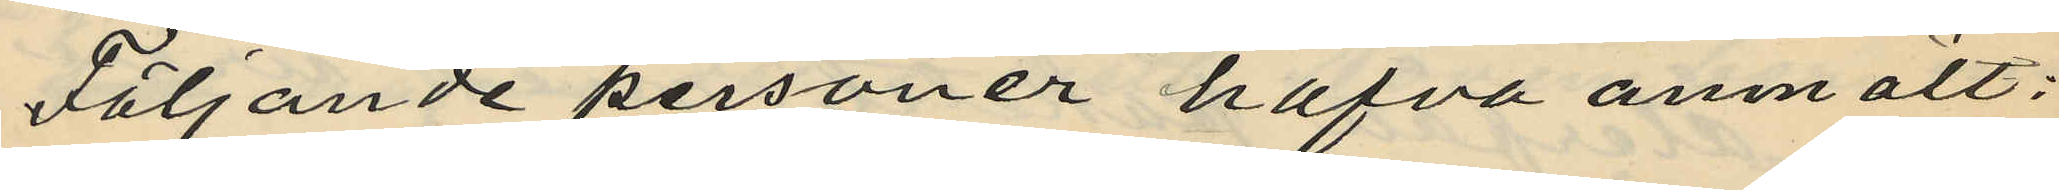Följande personer hafva anmält:
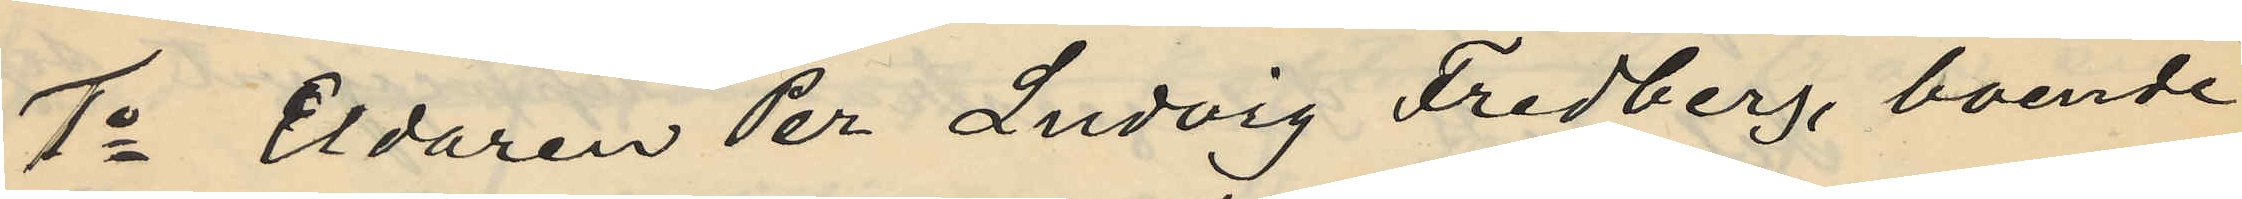1o Eldaren Per Ludvig Fredberg, boende
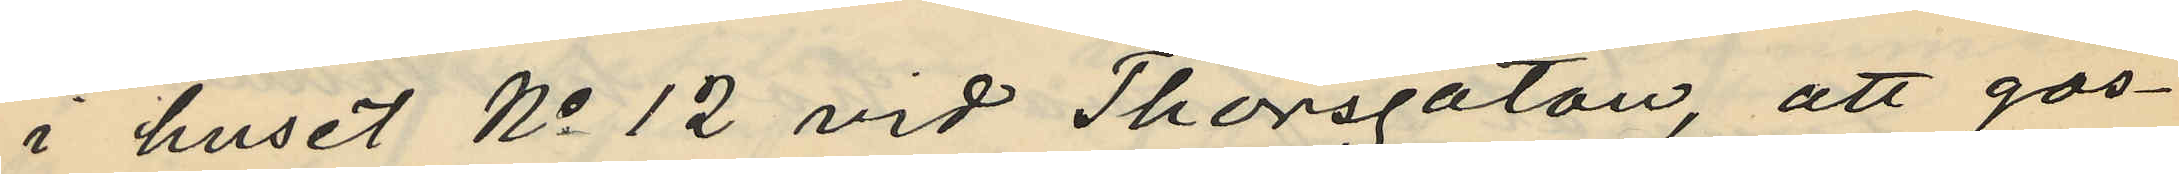i huset No 12 vid Thorsgatan, att gos¬
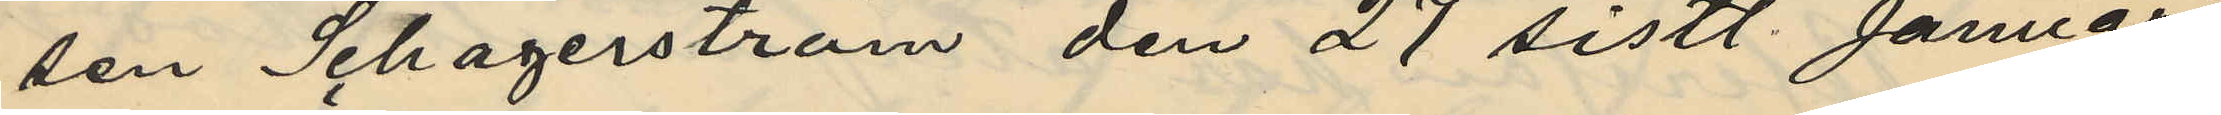sen Schagerström den 27 sistl. Januari
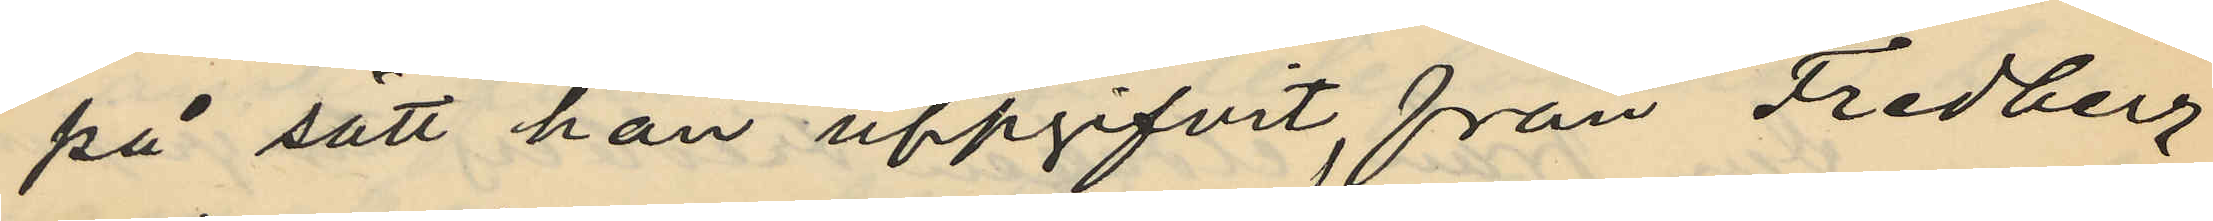på sätt han uppgifvit, från Fredberg
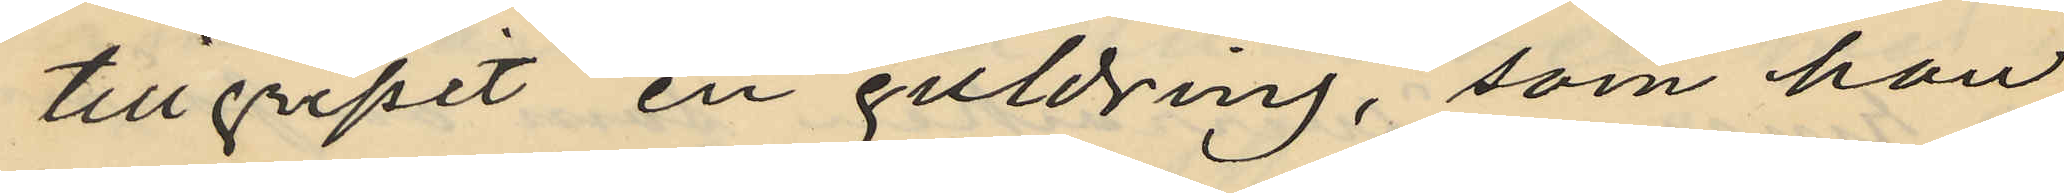tillgripit en guldring, som han
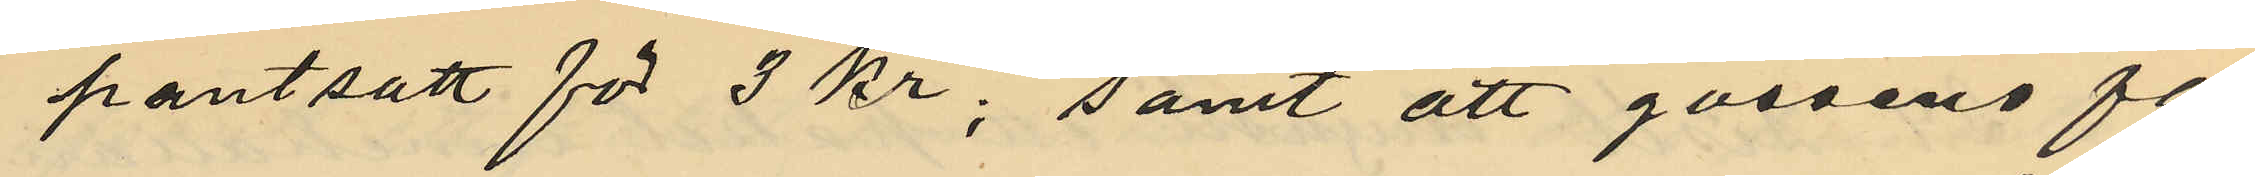pantsatt för 3 kr; samt att gossens fa¬
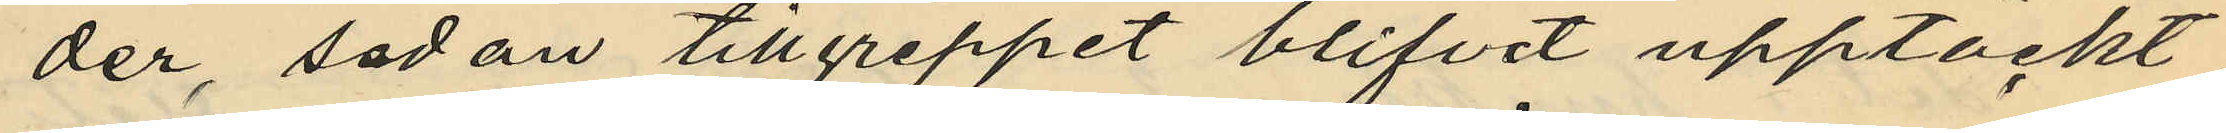der, sedan tillgreppet blifvit upptäckt
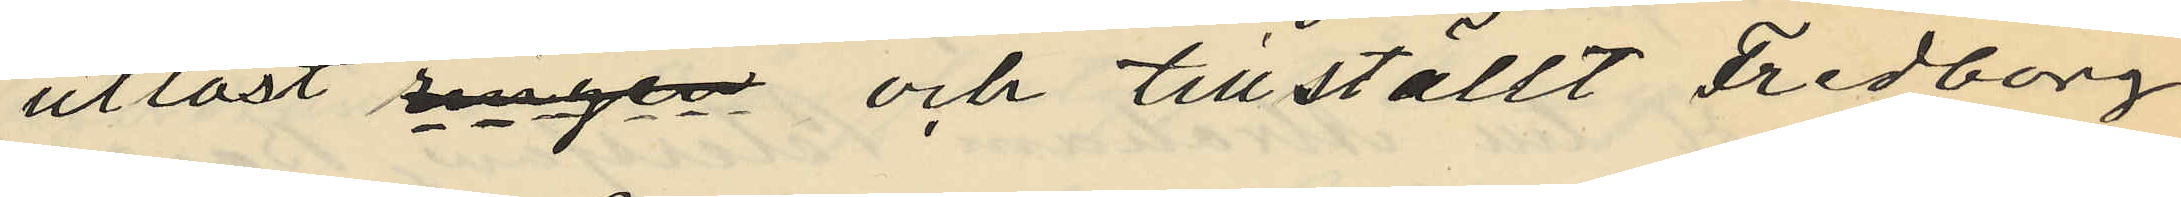utlöst ringen och tillställt Fredborg
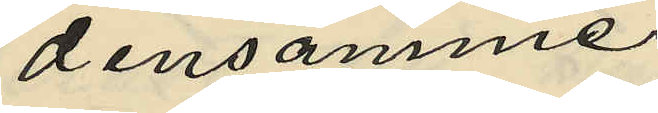densamme.
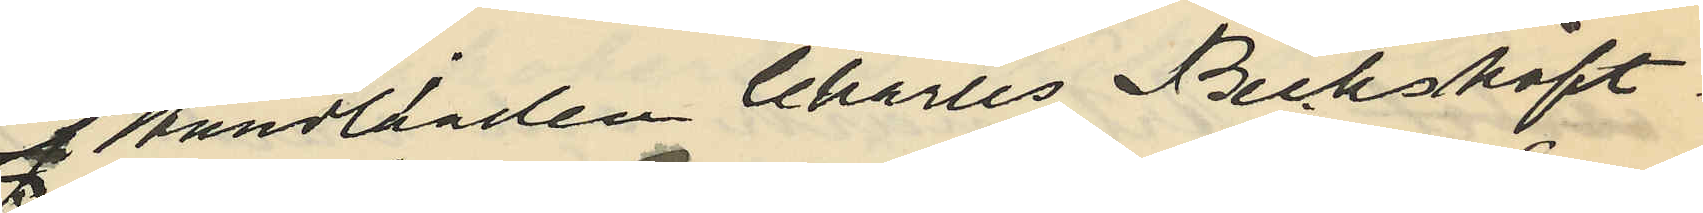Handlanden Charles Becksköft
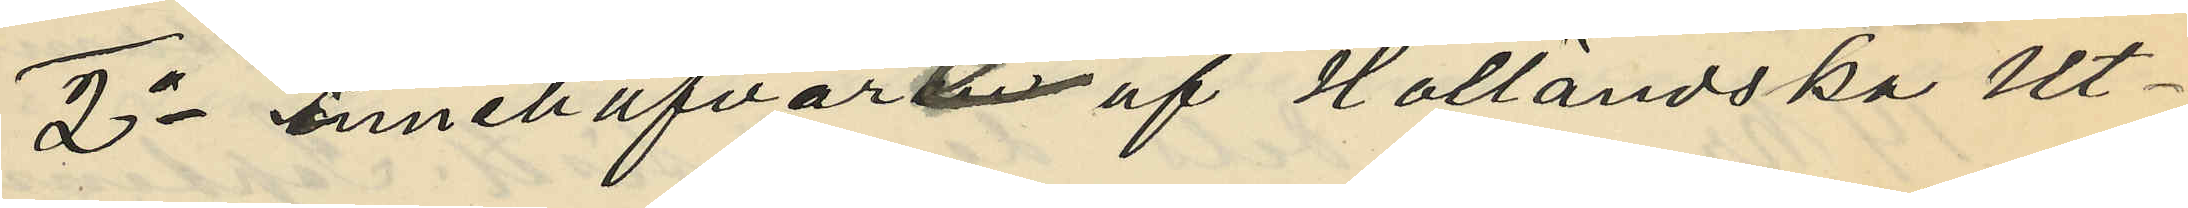2o innehafvare af Halländska Ut¬
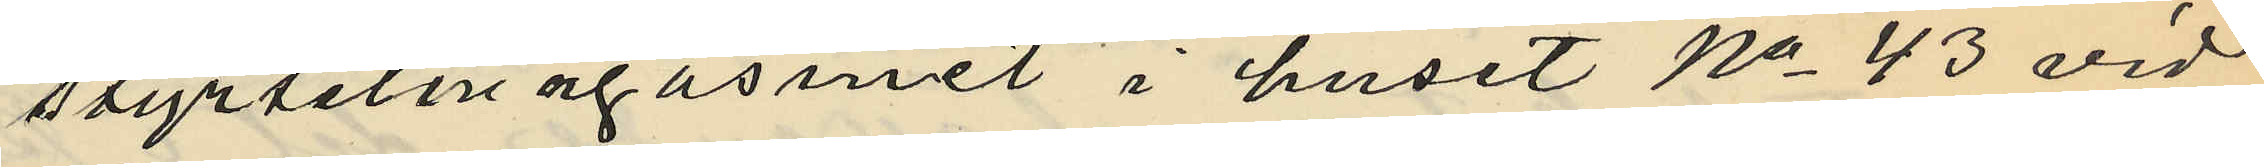styrselmagasinet i huset No 43 vid
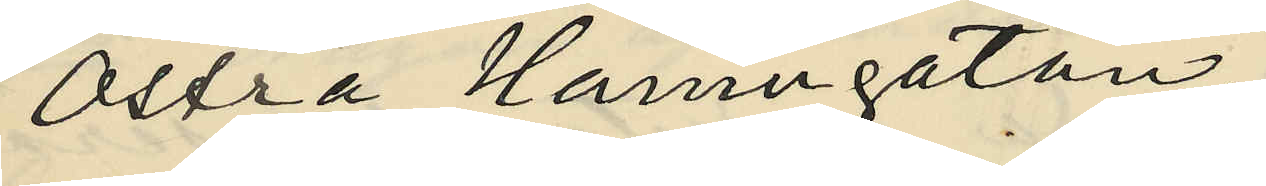Östra Hamngatan,
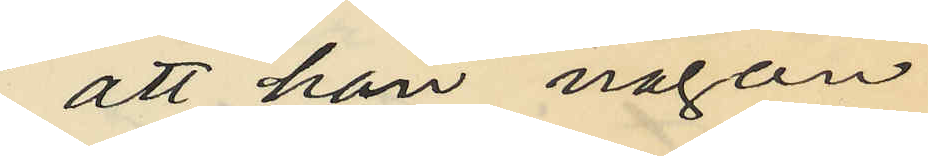att han någon
